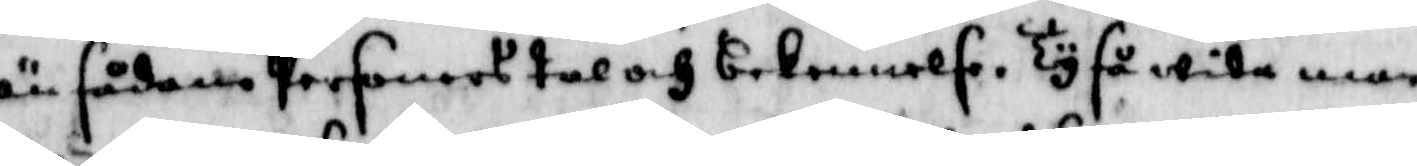än sådane Personers tal och bekennelse. Ty så wida man
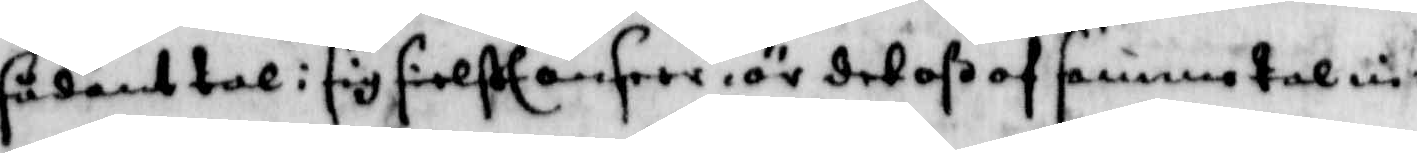sådant tal i sig sielft anseer, är det oß samma tal in¬
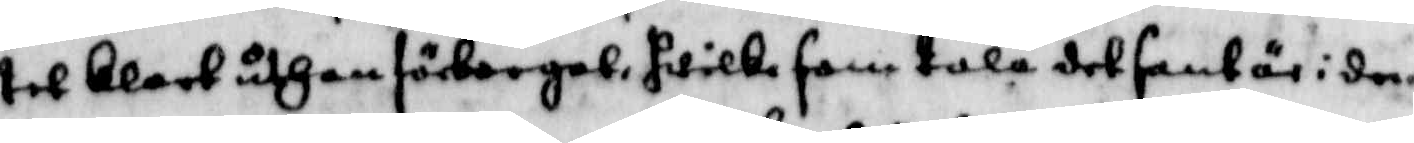tet klart uthan förnorgat, hwilka samtala det sant är i den
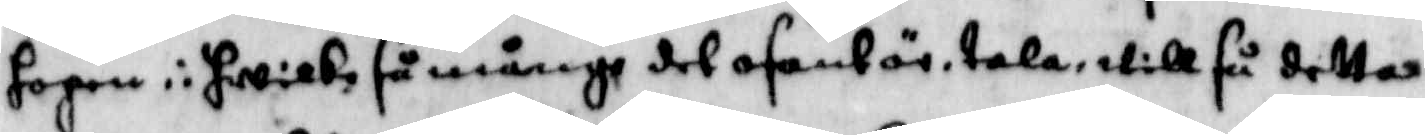hopen i hwilka så månge det osant är, tala, will så detta
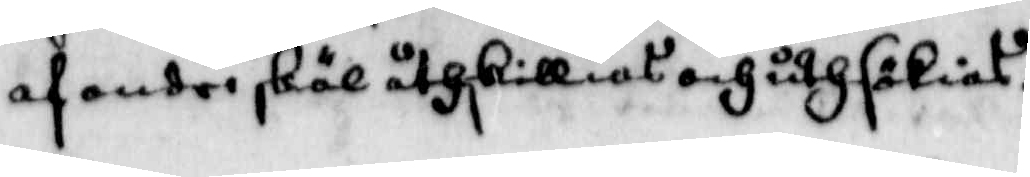af andre skäl åthskilligt och uthsökias.
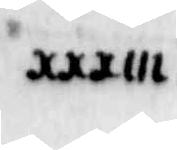XXXIII.
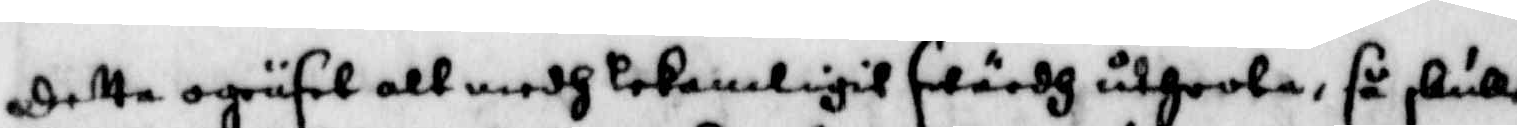detta ogräset att medh lekamligit swärdh utrotha, så skulle
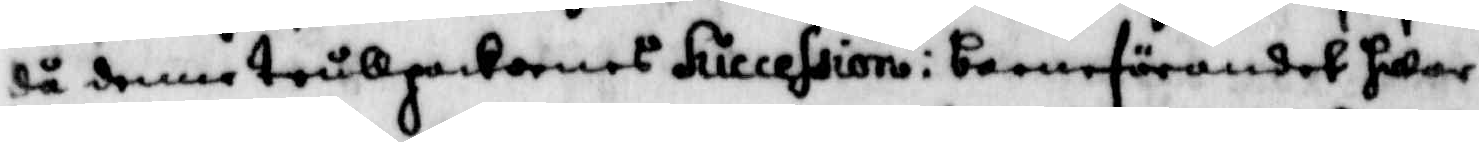då denne trullpackornes Succession i barnaförandet hwar
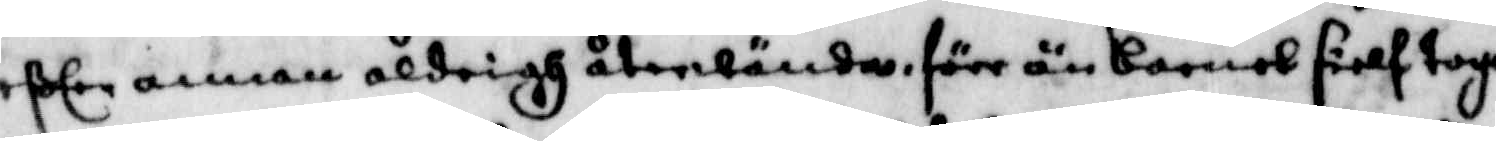efter annan aldrigh återwända, förr än barnet sielf togo
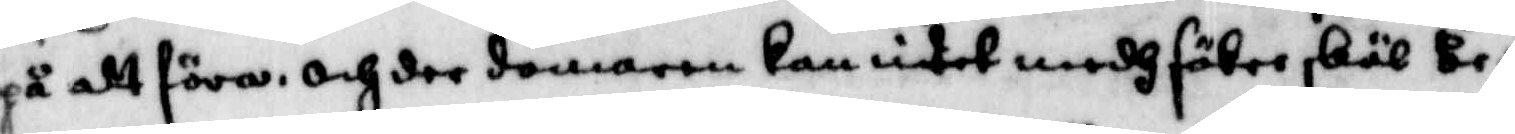på att föra, och der domaren kan intet medh säker skäl be¬
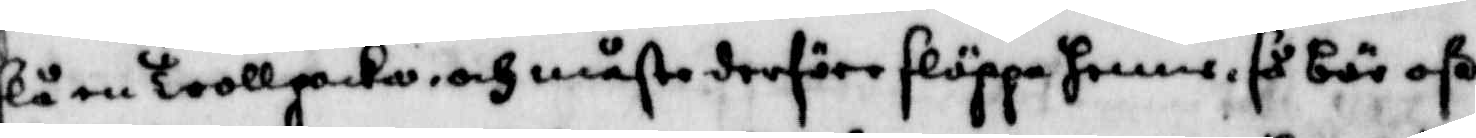slå en trollpacka, och måste derföre släppa henne, så bör oß
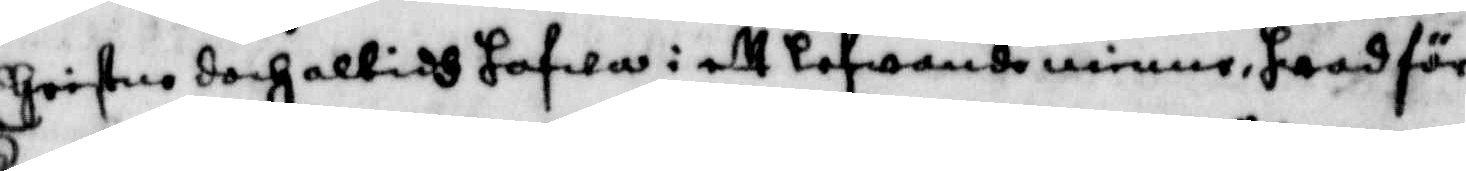Christne doch altidh hafwa i ett lefwande minne, hwad för
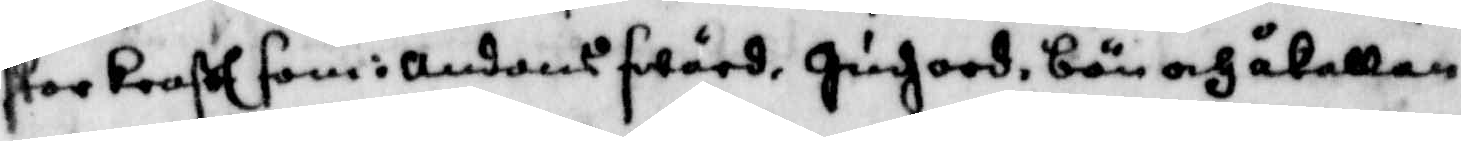stor kraft som i andens swärd, Hudz ord, bön och åkallan,
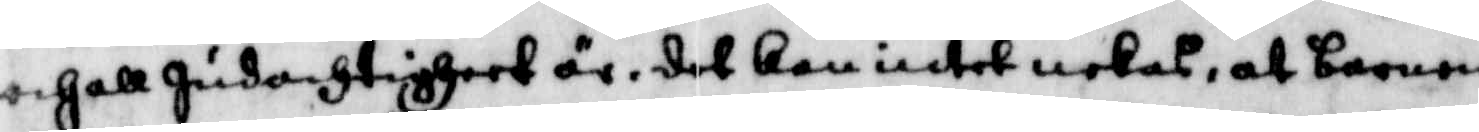och all Gudachtigheet är, det kan intet nekas, at barnen
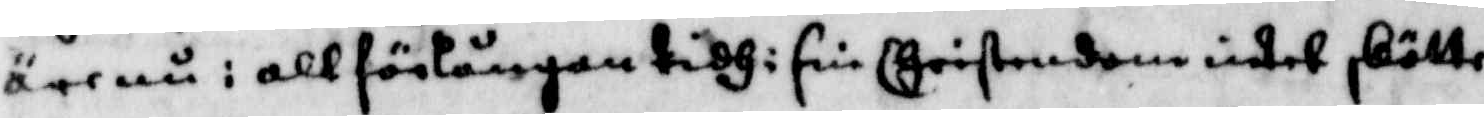äre nu i all förlångan  tidh i sin Christendom intet skötte
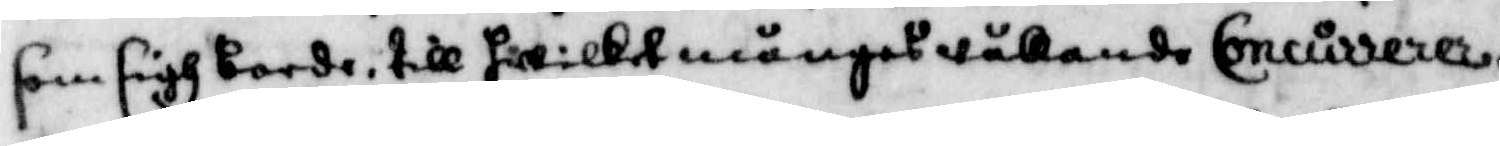som sigh borde, till hwilket mångas wållande Concurrerer.
